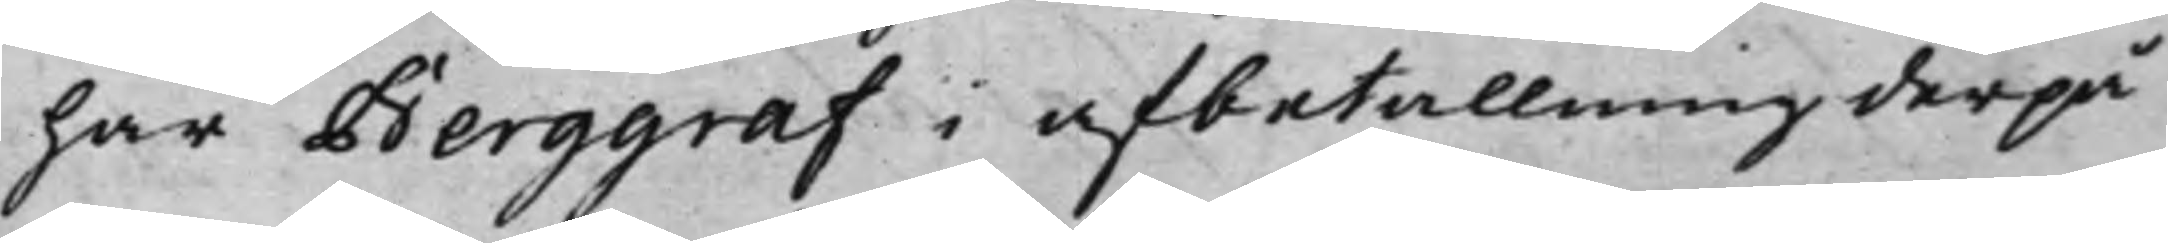har Berggraf i afbetalning derpå
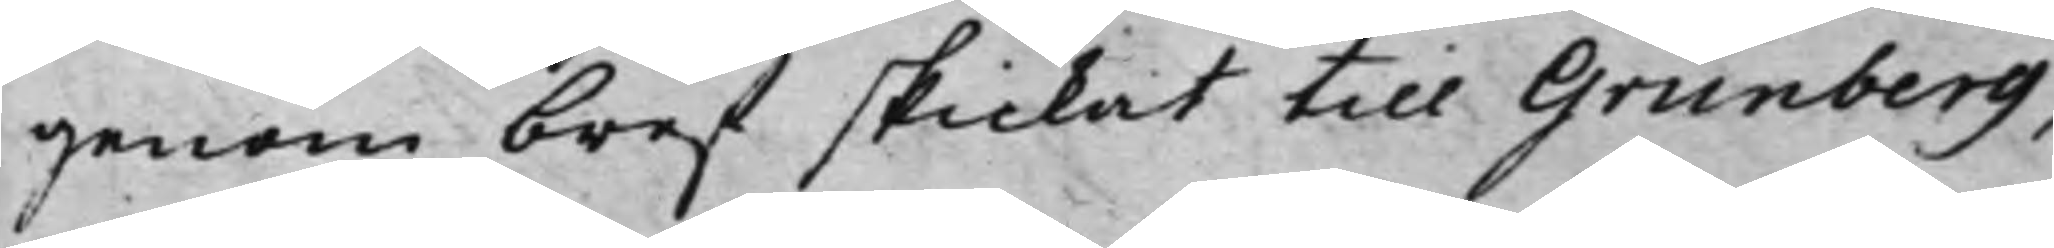genom bref skickat till Grunberg,
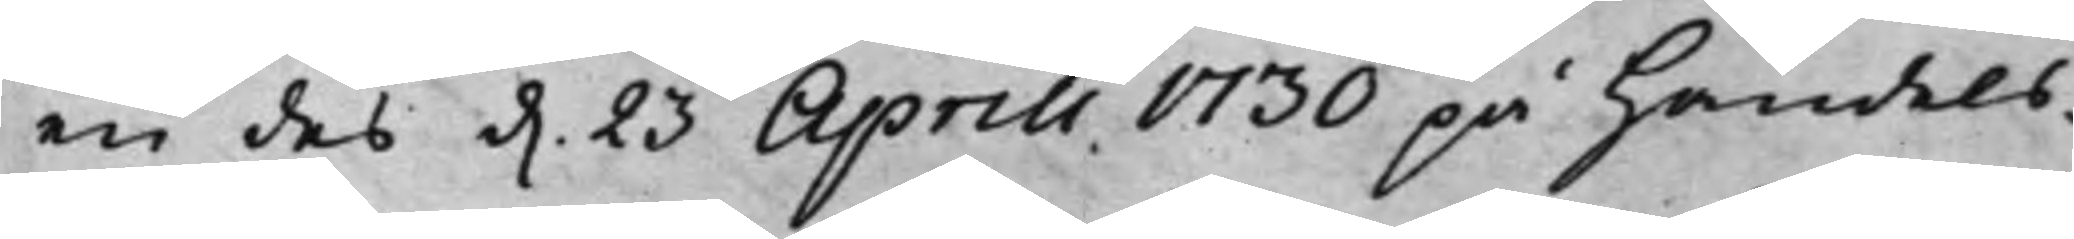en des d. 23 Aprill 1730 på Handels¬
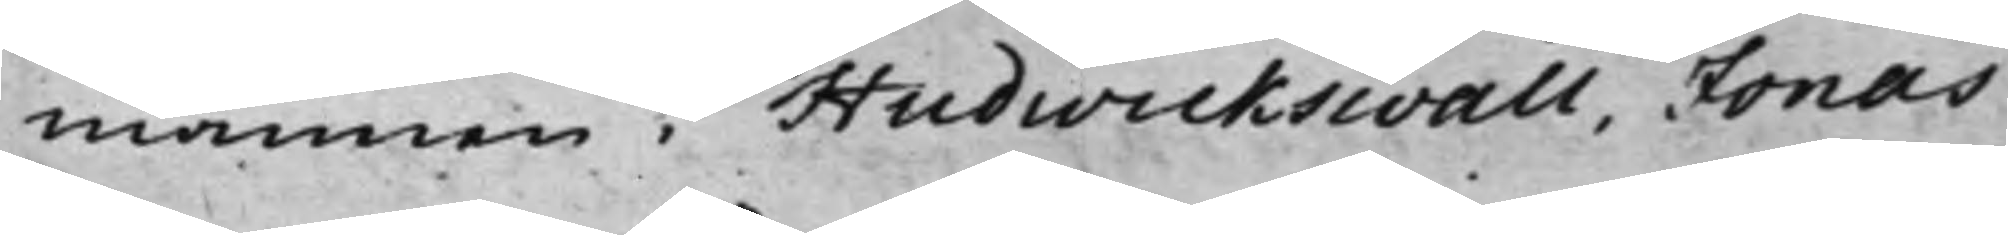mannen i Hudwickswall, Jonas
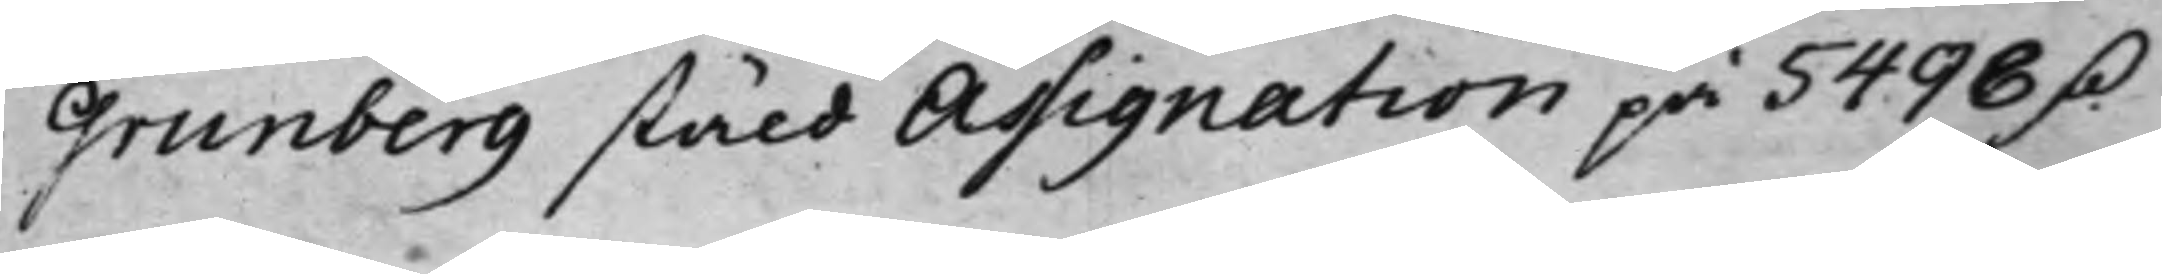Grunberg stäld Assignation på 5498 D.
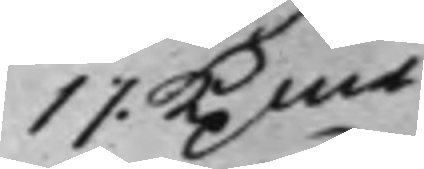17 Kpmt
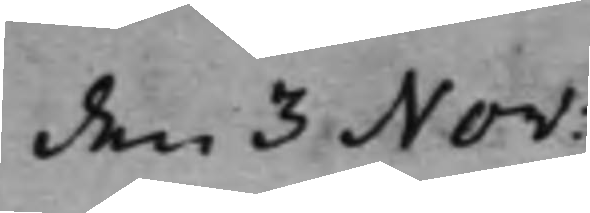den 3 Nov:
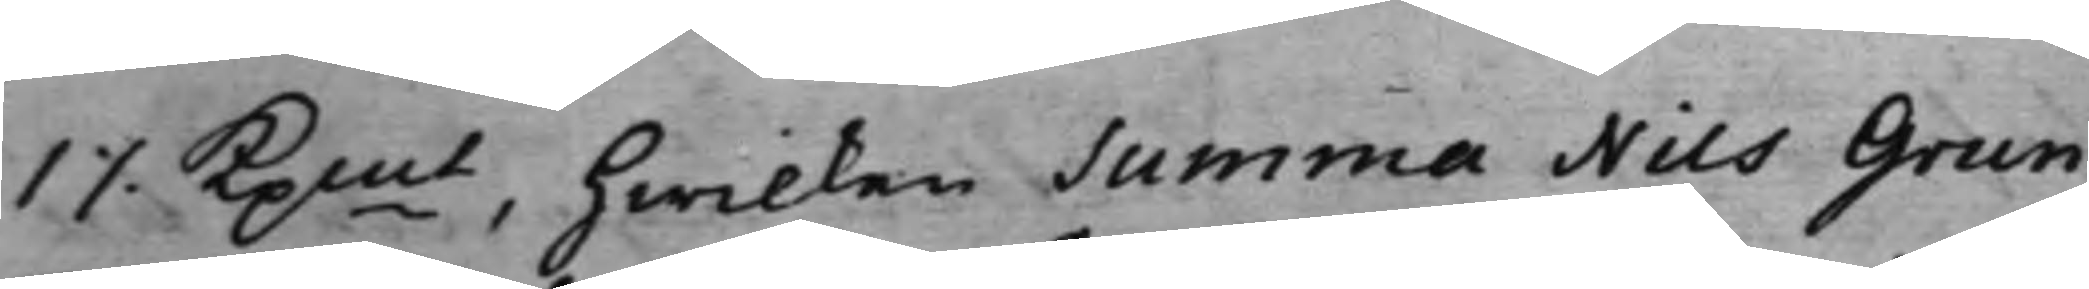1 ./. Kpmt, hwilken summa Nils Grun¬
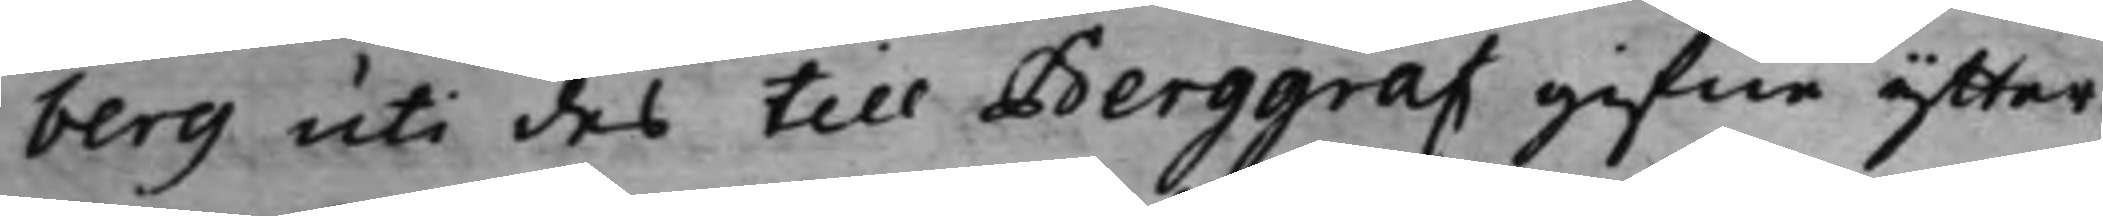berg uti des till Berggraf gifne ytter¬
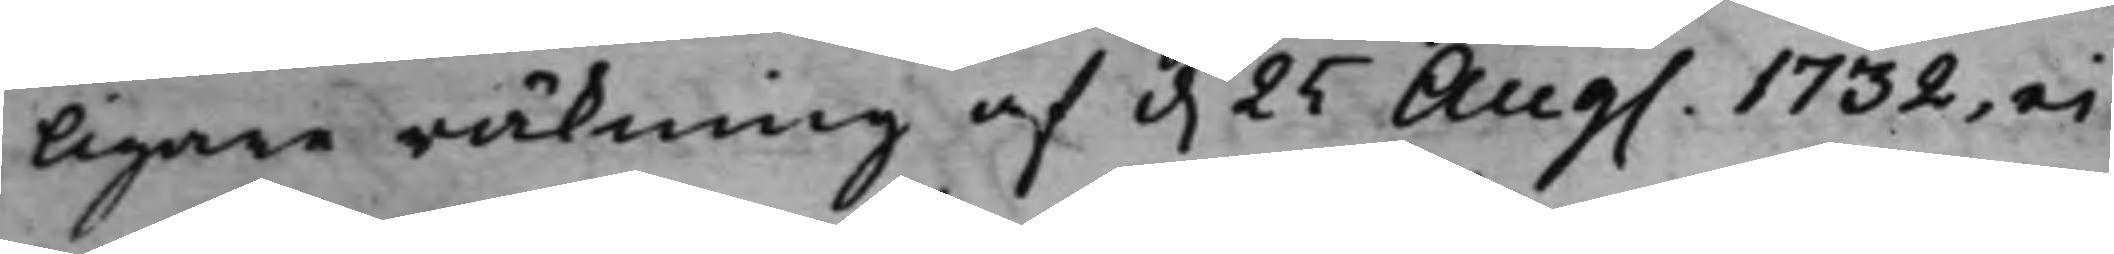ligare räkning af d. 25 Aug. 1732, ei
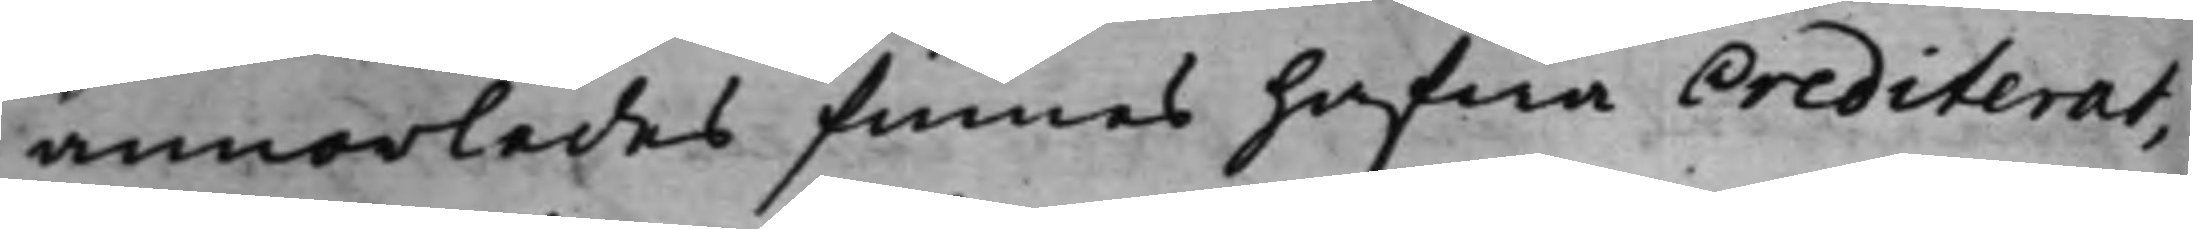annorledes finnes hafwa Crediterat,
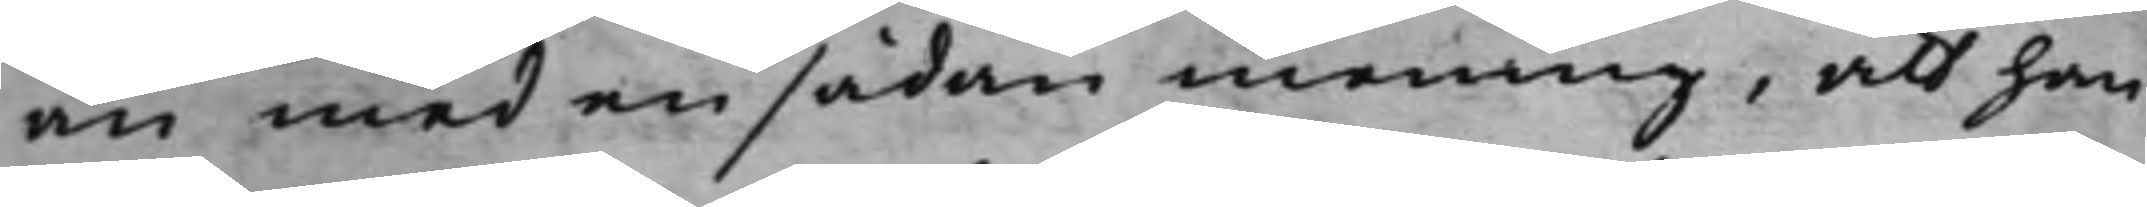än med en sådan mening, att han
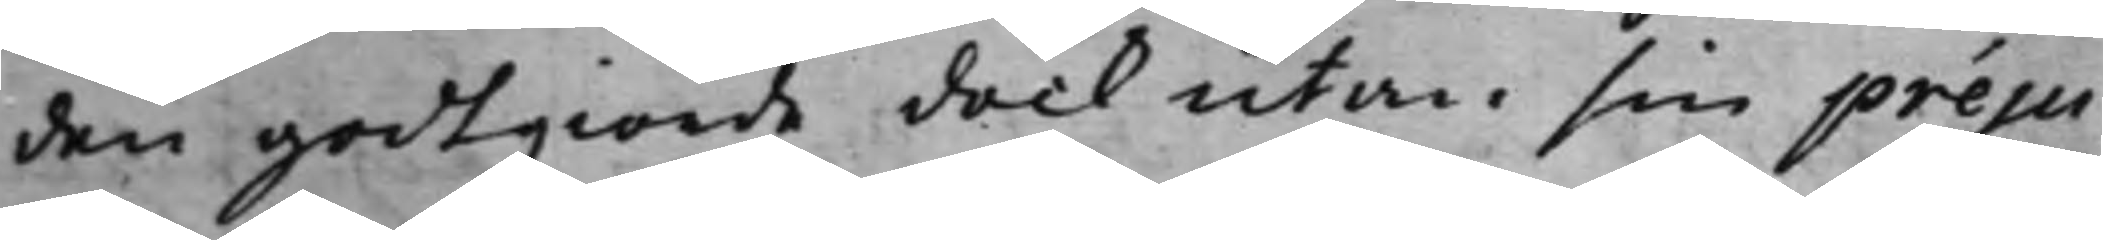den godtgiorde dock utan sin preju¬
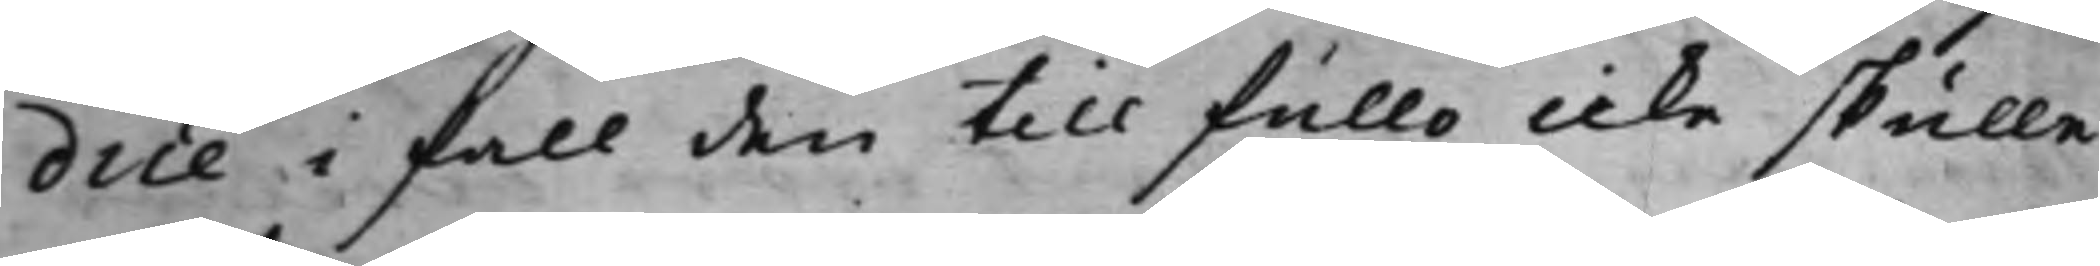dice i fall den till fullo icke skulle
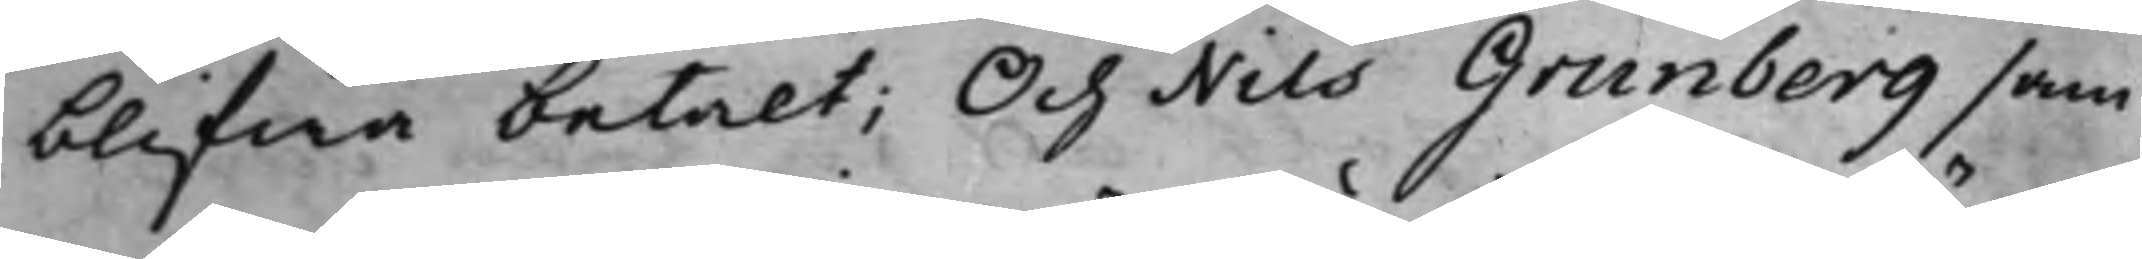blifwa betalt; Och Nils Granberg sam¬
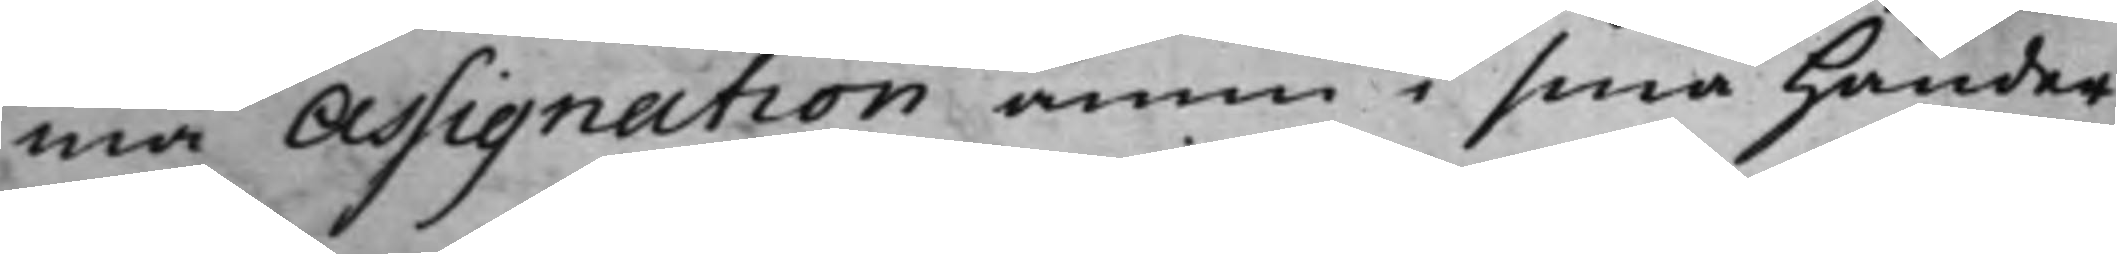ma Assignation ännu i sina händer
